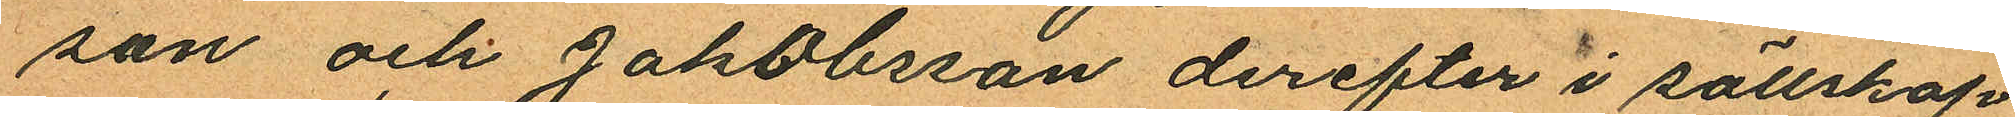son och Jakobsson derefter i sällskap
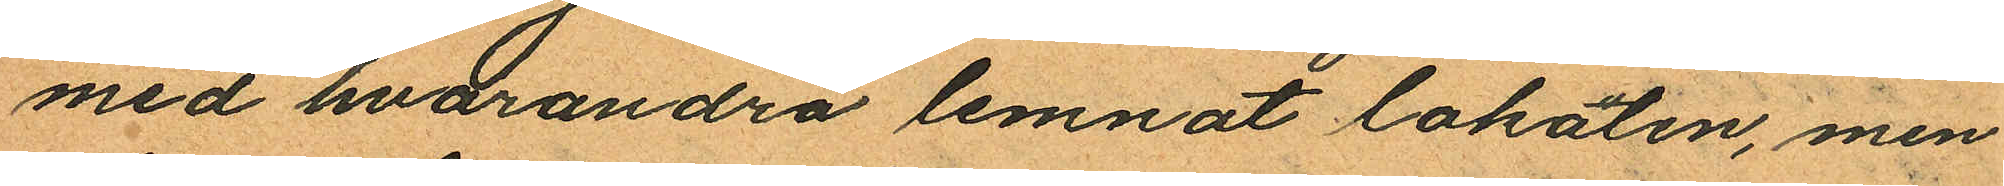med hvarandra lemnat lokalen, men
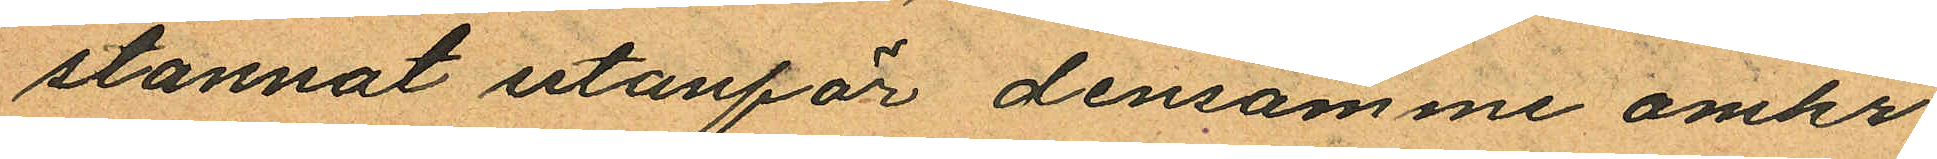stannat utanför densamme omkr.
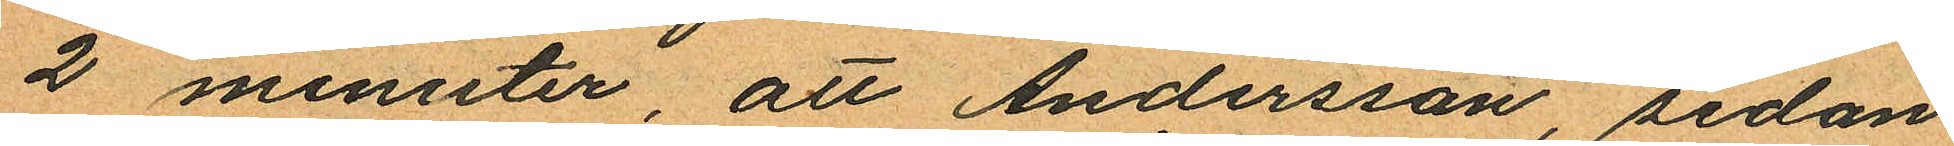2 minuter, att Andersson, sedan
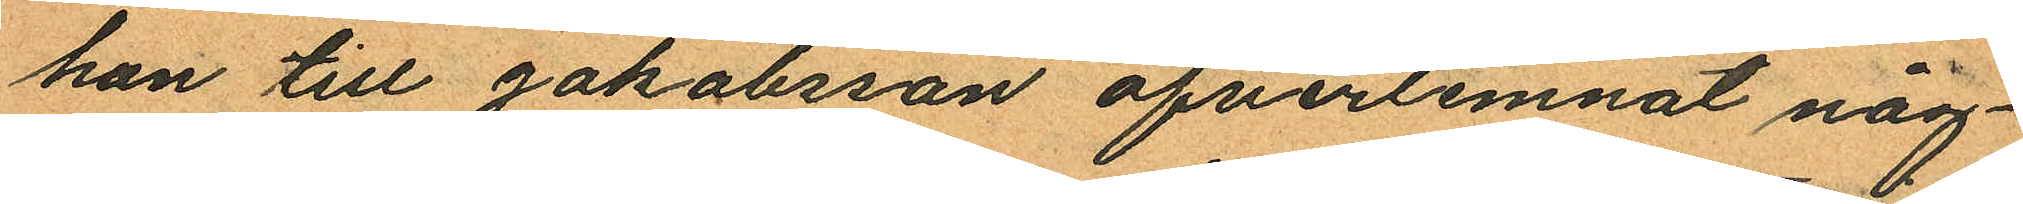han till Jakobsson öfverlemnat någ¬
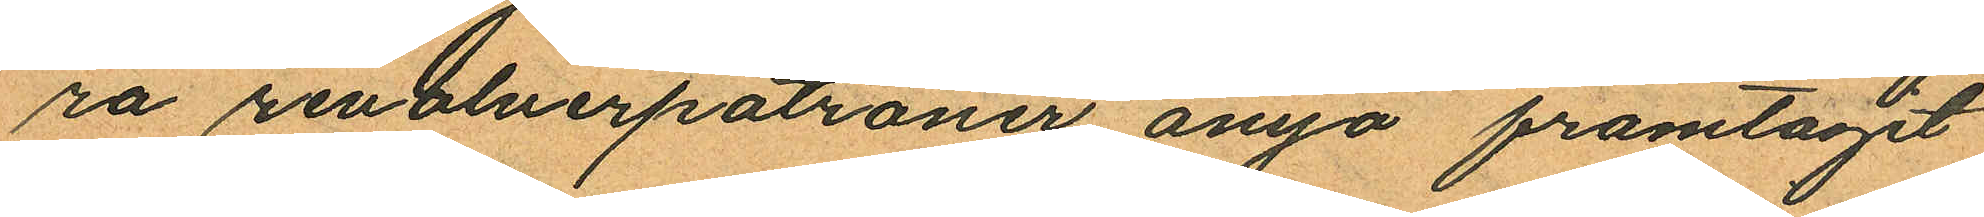ra revolverpatroner ånyo framtagit
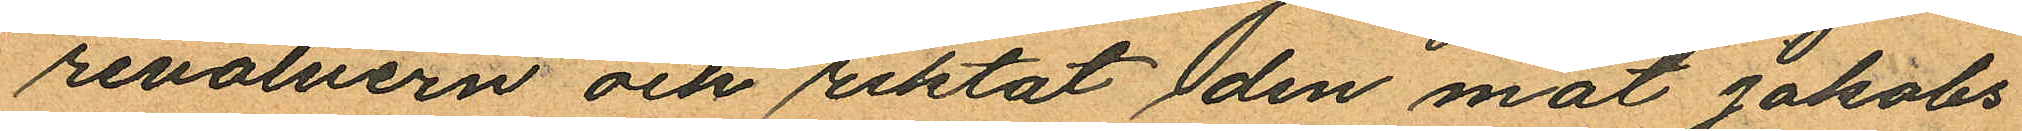revolvern och riktat den mot Jakobs¬
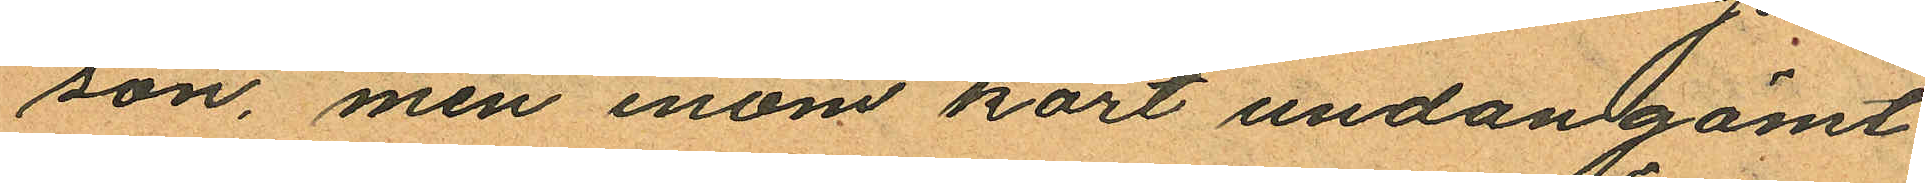son, men inom kort undangömt
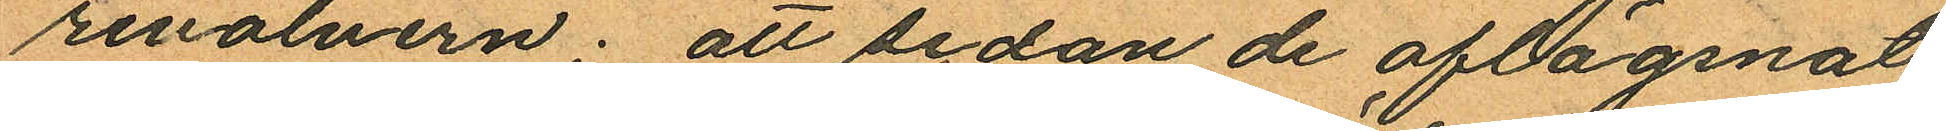revolvern; att sedan de aflägsnat
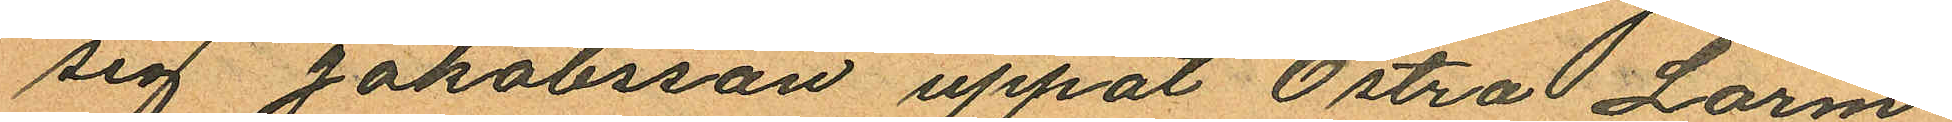sig Jakobsson uppåt Östra Larm¬
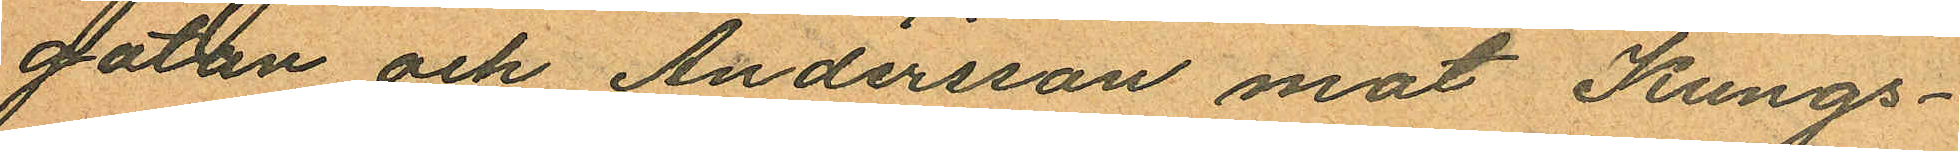gatan och Andersson mot Kungs¬
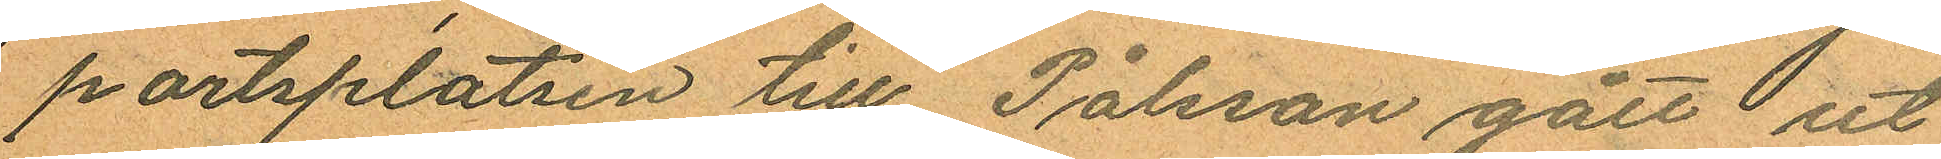portsplatsen till Pålsson gått ut
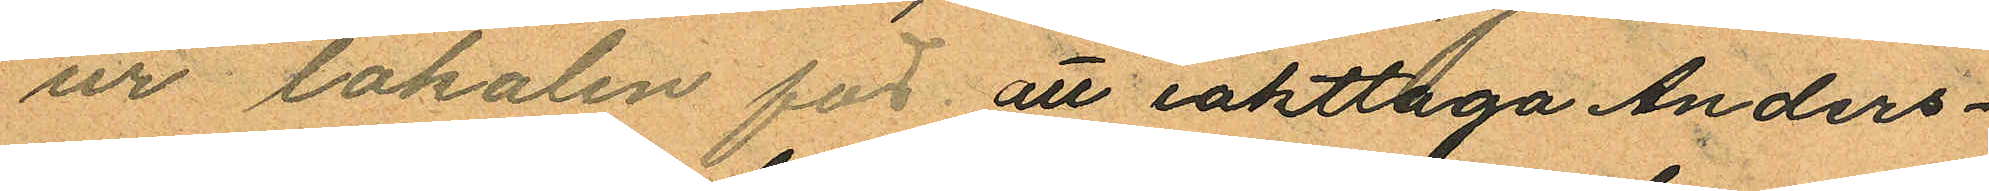ur lokalen för att iakttaga Anders¬
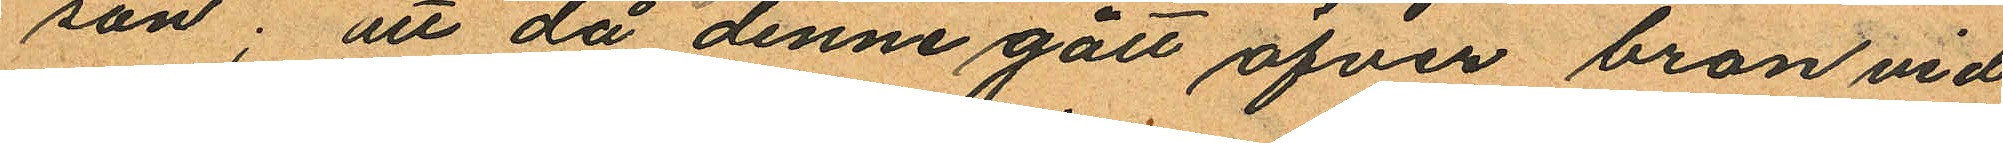son; att då denne gått öfver bron vid
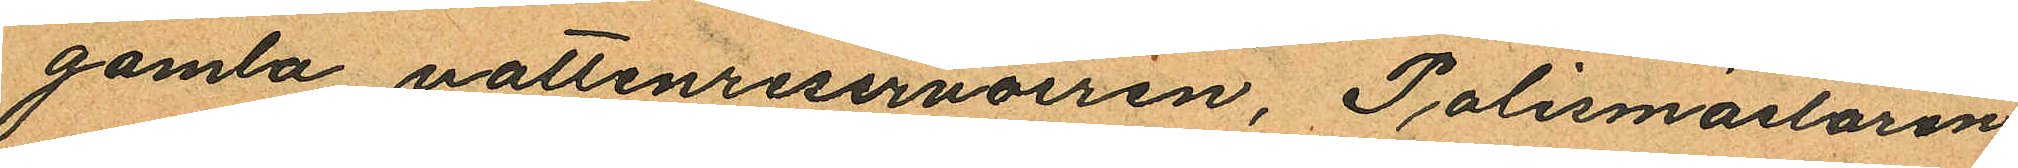gamla vattenreservoiren, Polismästaren
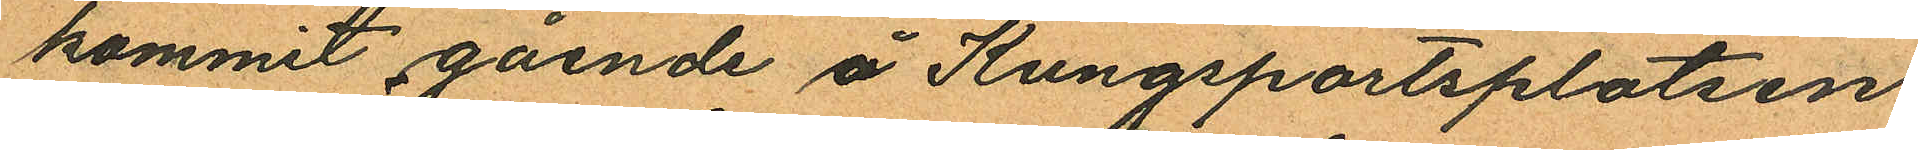kommit gående å Kungsportsplatsen
